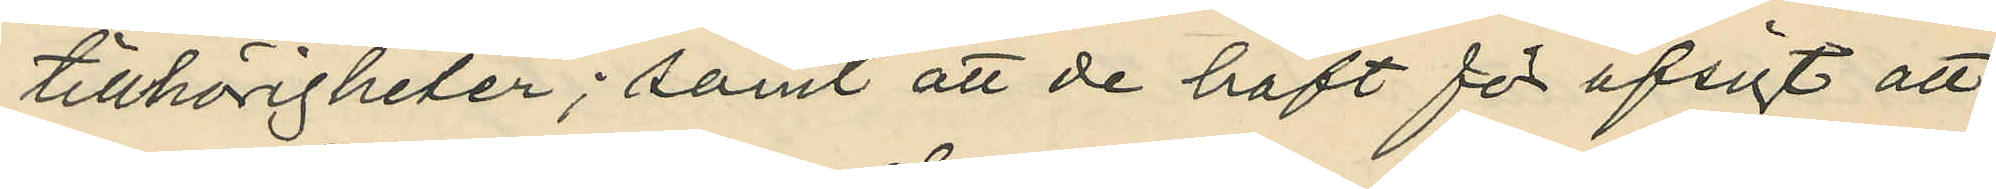tillhörigheter; samt att de haft för afsigt att
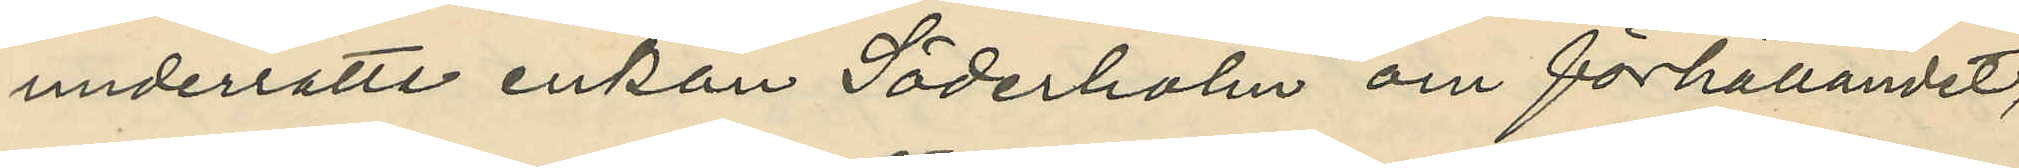underrätta enkan Söderholm om förhållandet,
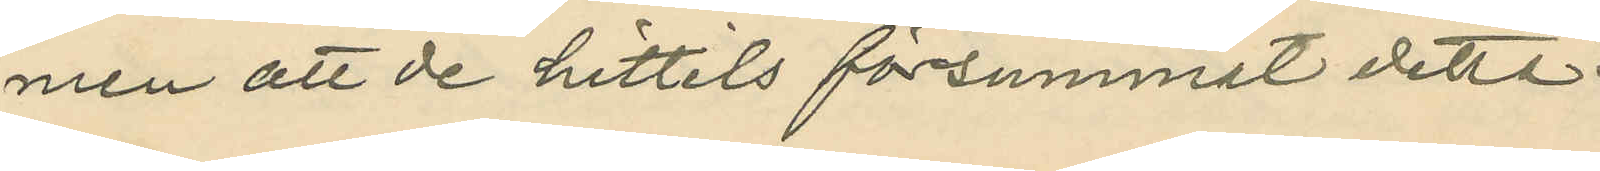men att de hittils försummat detta.
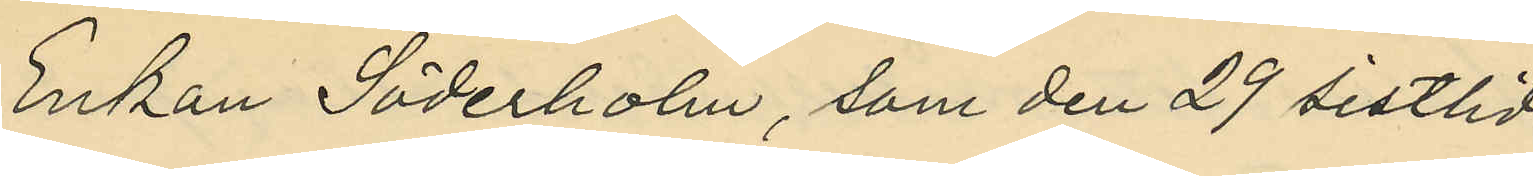Enkan Söderholm, som den 29 sistlid¬
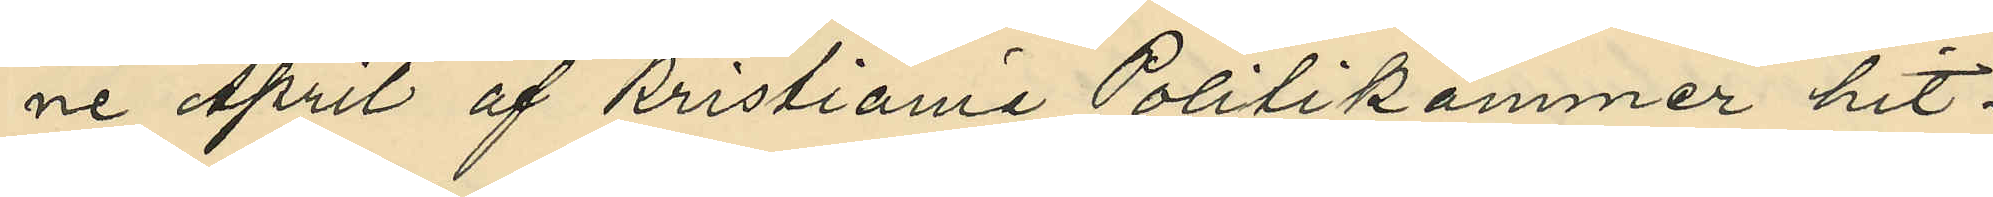ne April af Kristiania Politikammer hit¬
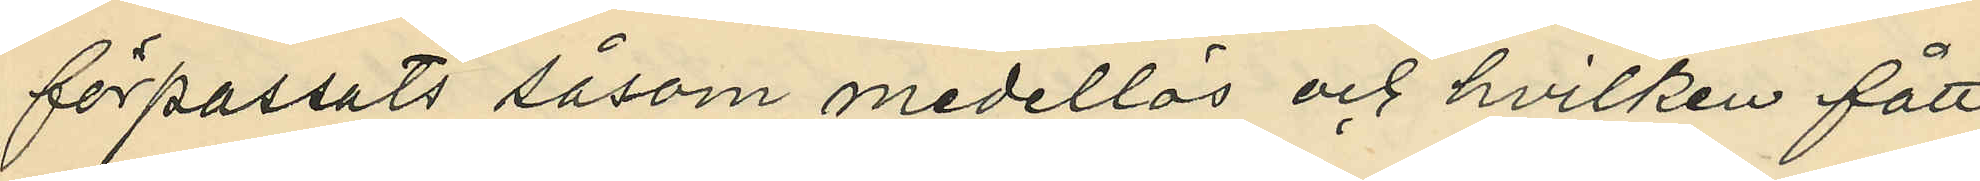förpassats såsom medellös och hvilken fått
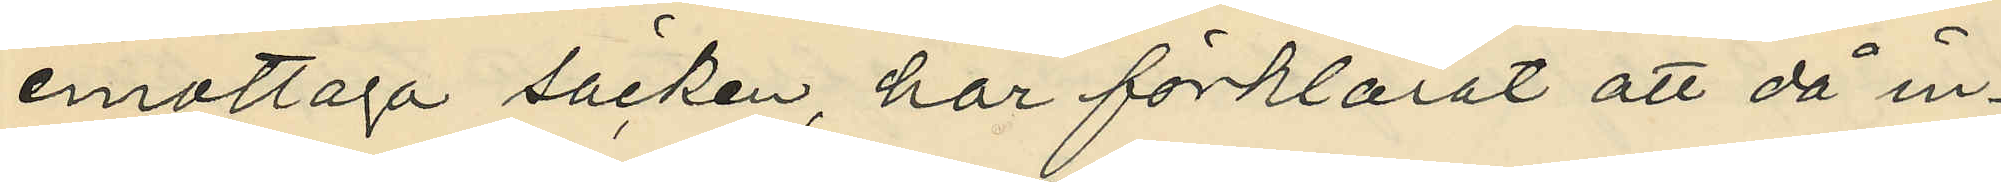emottaga säcken, har förklarat att då in¬
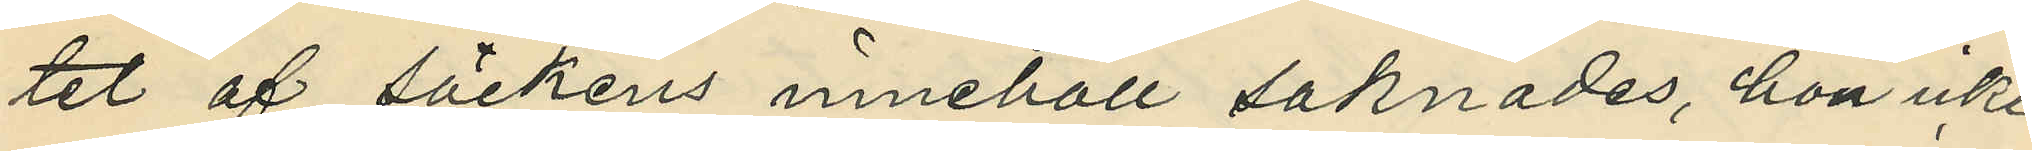tet af säckens innehåll saknades, hon icke
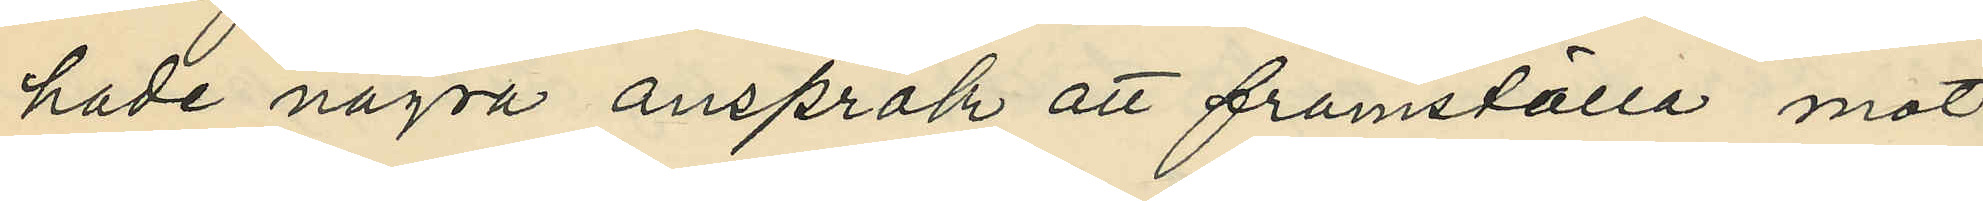hade några anspråk att framställa mot
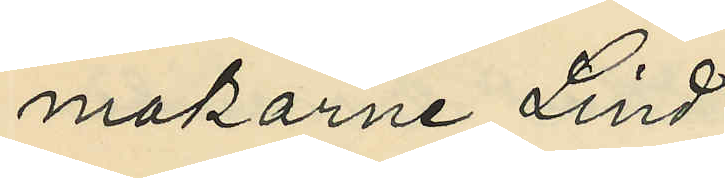makarne Lind.
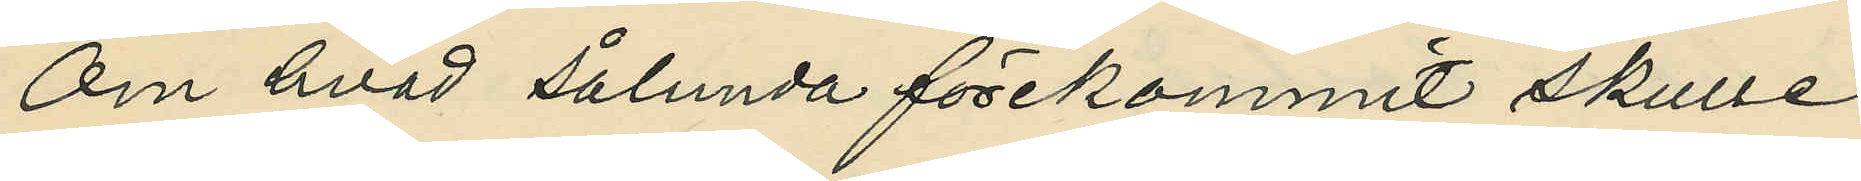Om hvad sålunda förekommit skulle
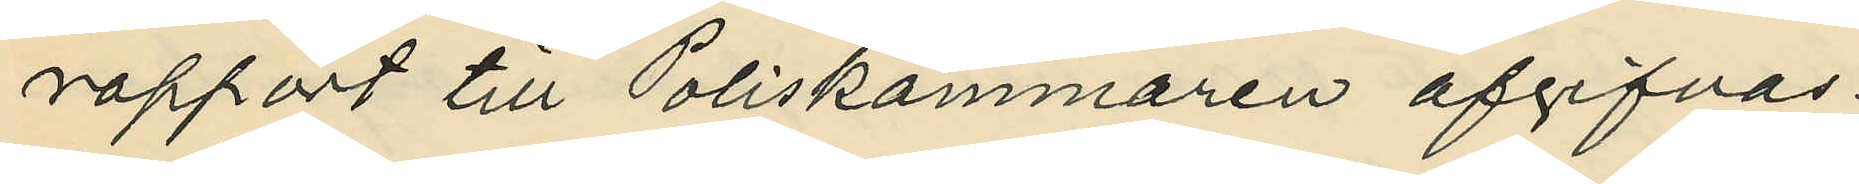rapport till Poliskammaren afgifvas.
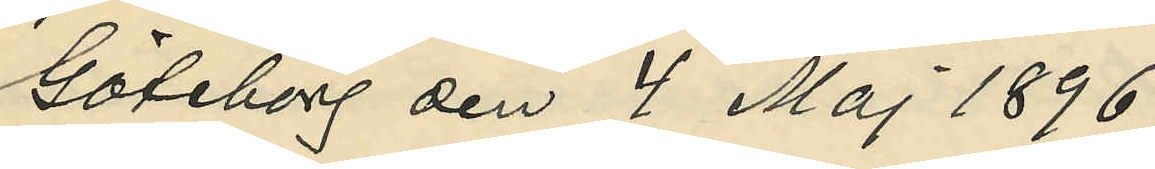Göteborg den 4 Maj 1896.
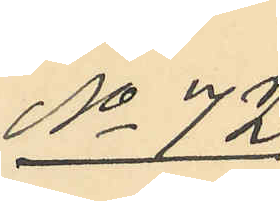No 72
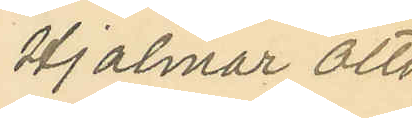Hjalmar Otto
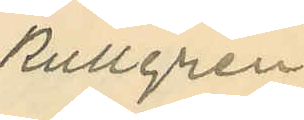Kullgren.
